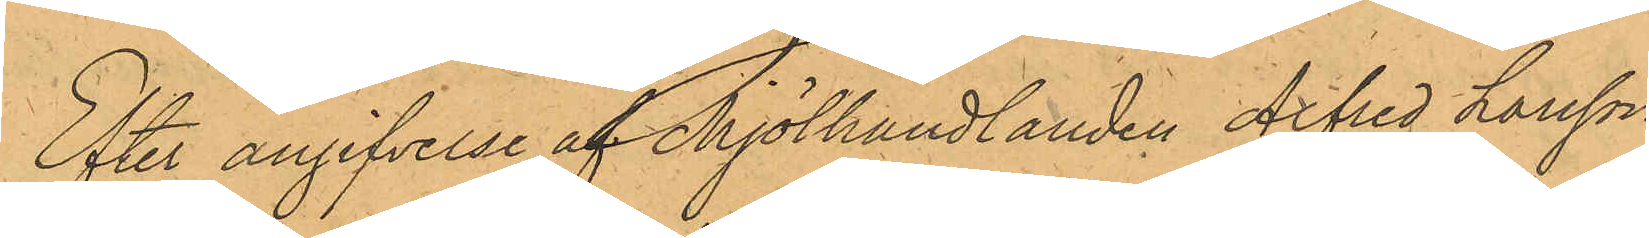Efter angifvelse af Mjölhandlanden Alfred Larsson,
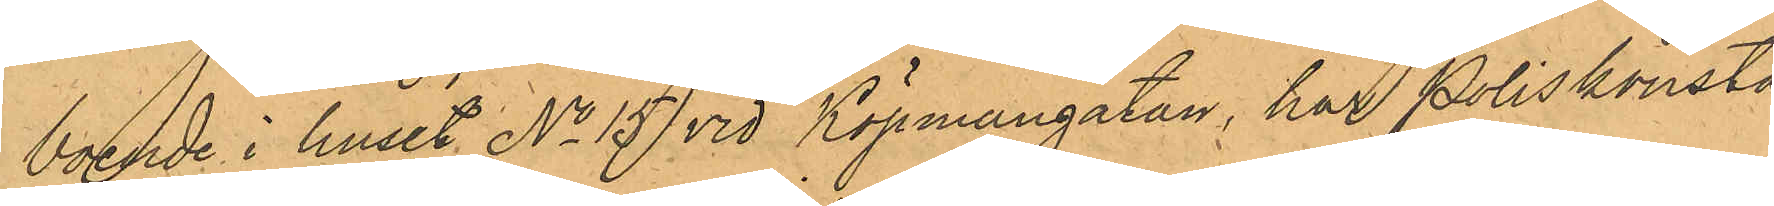boende i huset No 15 vid Köpmangatan, har Poliskonsta¬
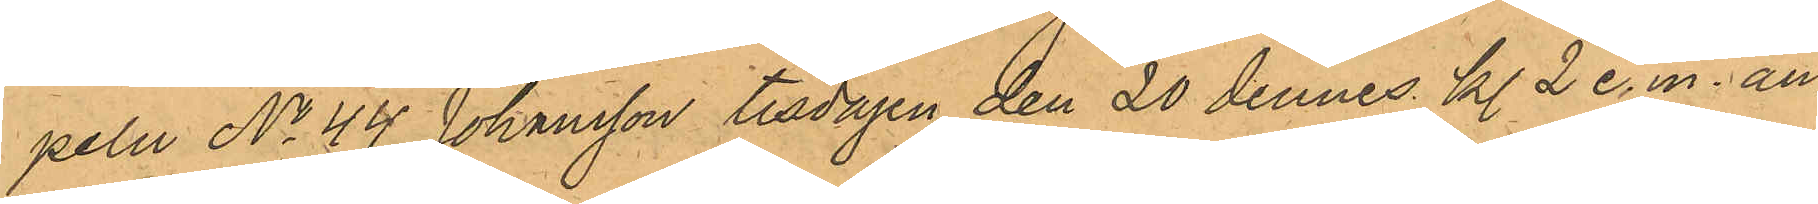peln No 44 Johansson tisdagen den 20 dennes kl. 2 e.m. an¬
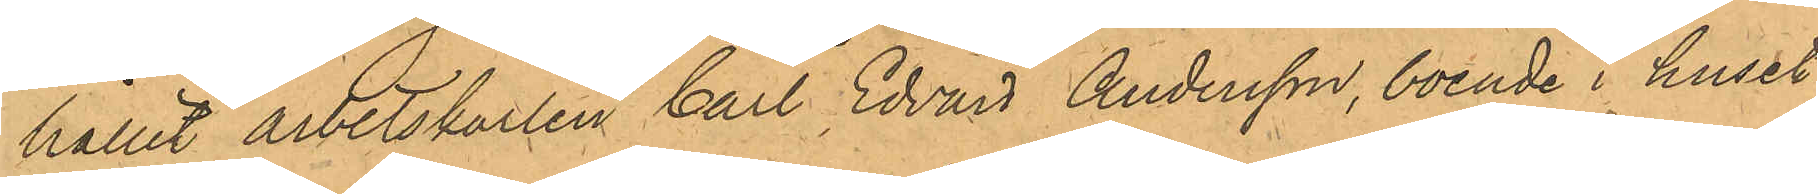hållit arbetskarlen Carl Edvard Andersson, boende i huset
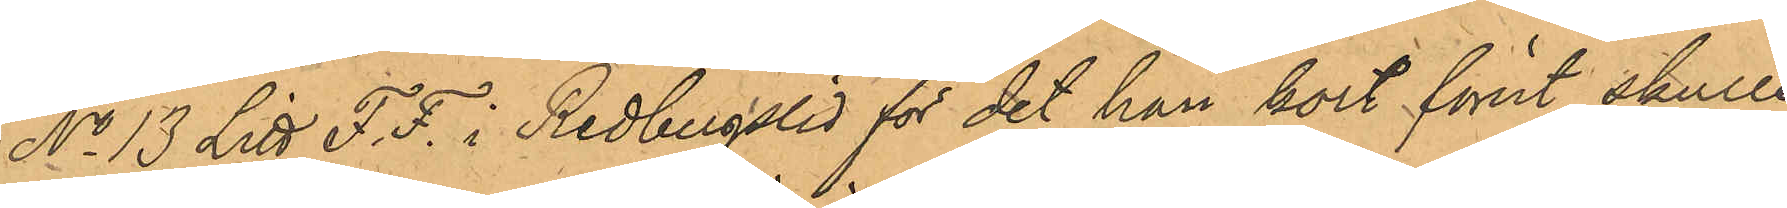No 13 Litt F.F. i Redbergslid för det han kort förut skulle
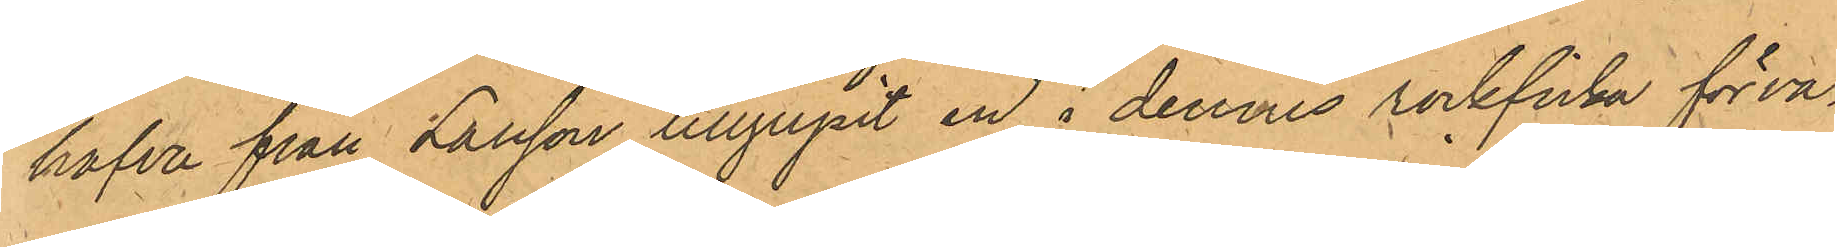hafva från Larsson tillgripit en i dennes rockficka förva¬
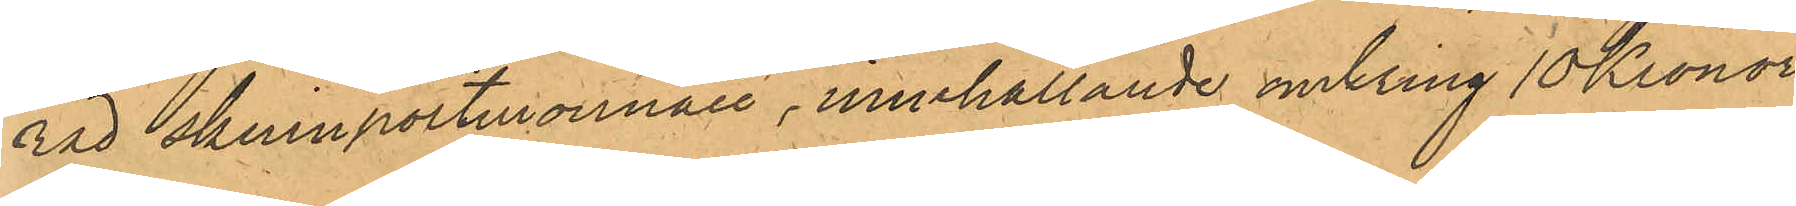rad skinnportmonnaie, innehållande omkring 10 Kronor,
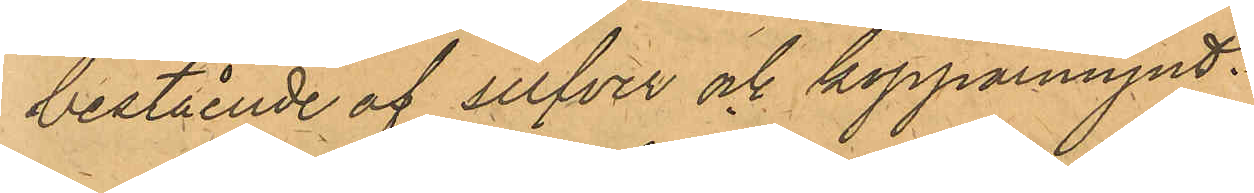bestående af silfver och kopparmynt.
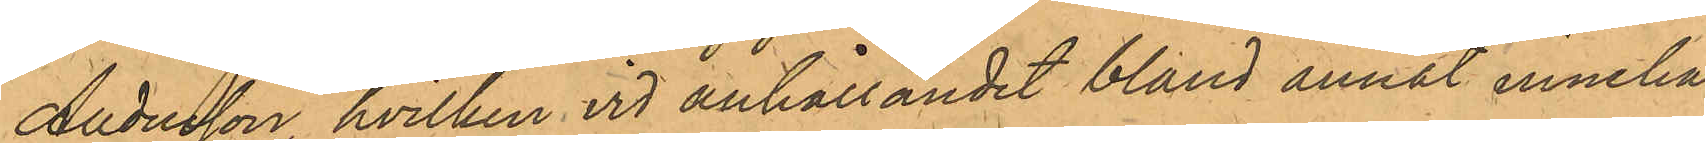Andersson, hvilken vid anhållandet bland annat inneha¬
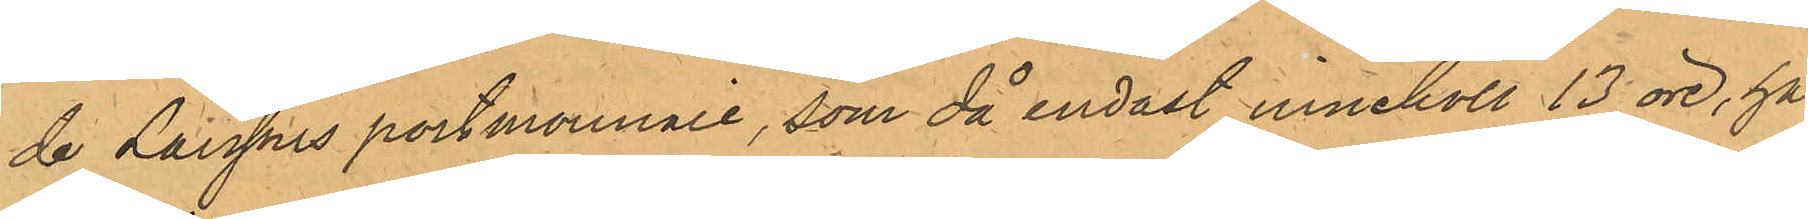de Larssons portmonnaie, som då endast innehöll 13 öre, har
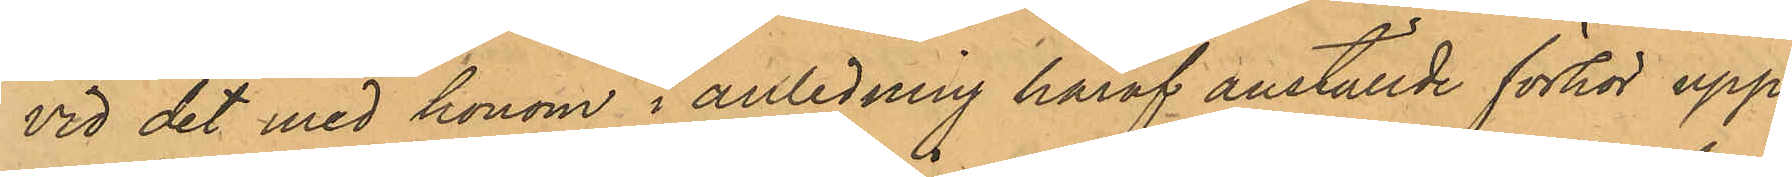vid det med honom i anledning häraf anställda förhör upp¬
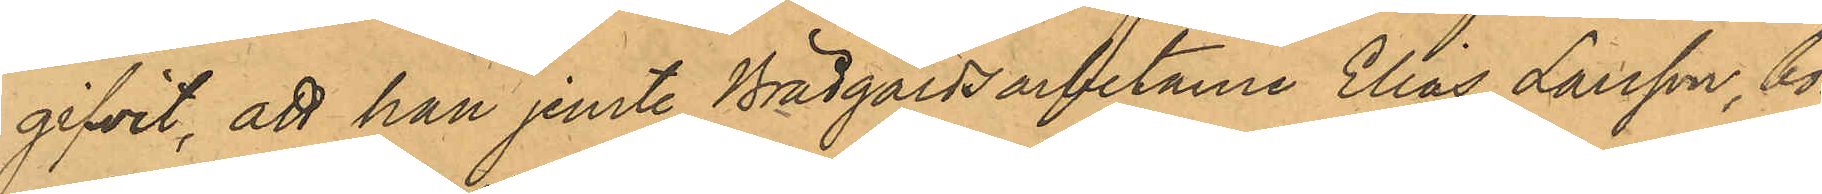gifvit, att han jemte Brädgårdsarbetarene Elias Larsson, bo¬ 
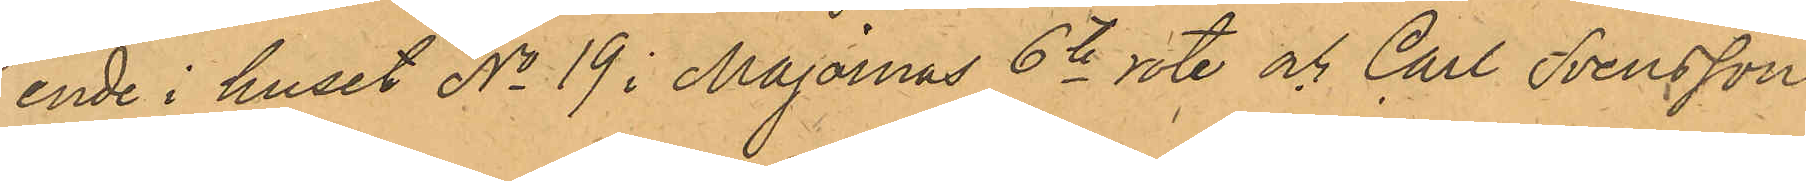ende i huset No 19 i Majornas 6te rote och Carl Svensson
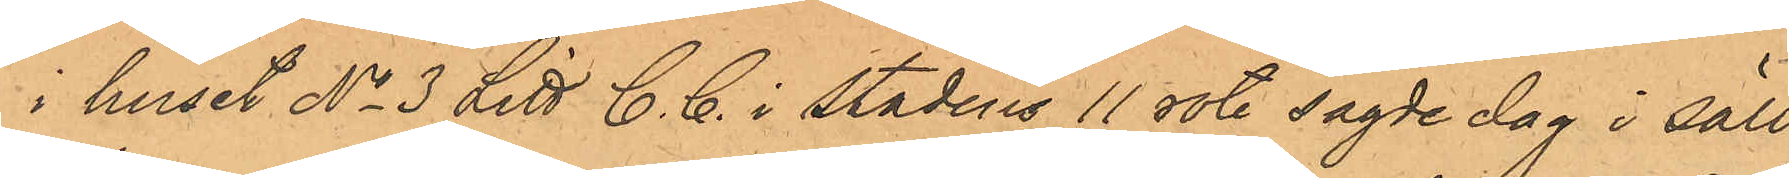i huset No 3 Litt C. C. i stadens 11 rote sagde dag i säll¬
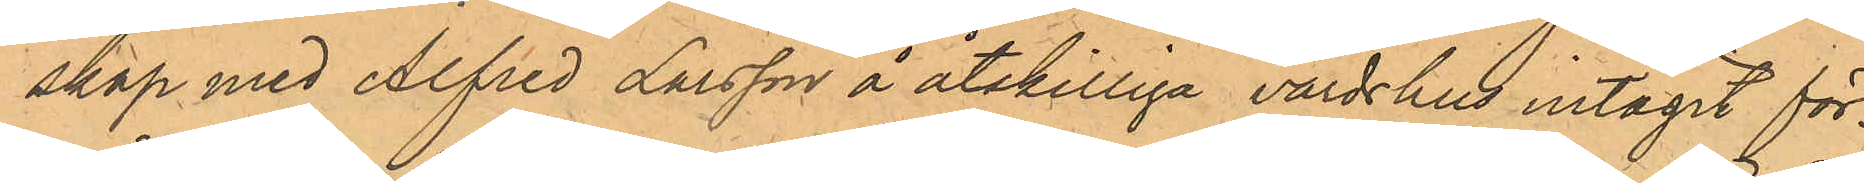skap med Alfred Larsson å åtskilliga värdshus intagit för¬
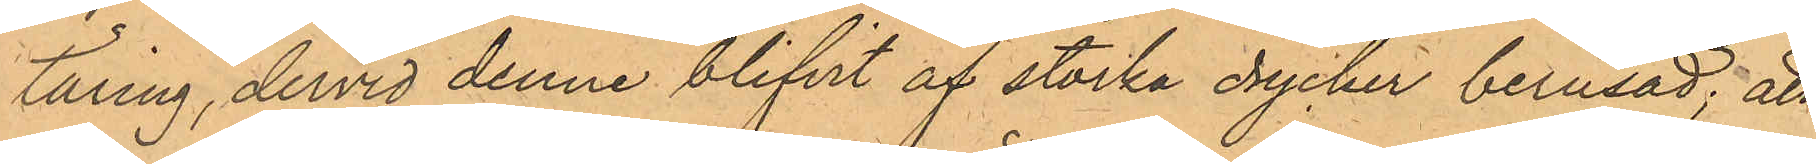täring, dervid denne blifvit af starka drycker berusad; att
